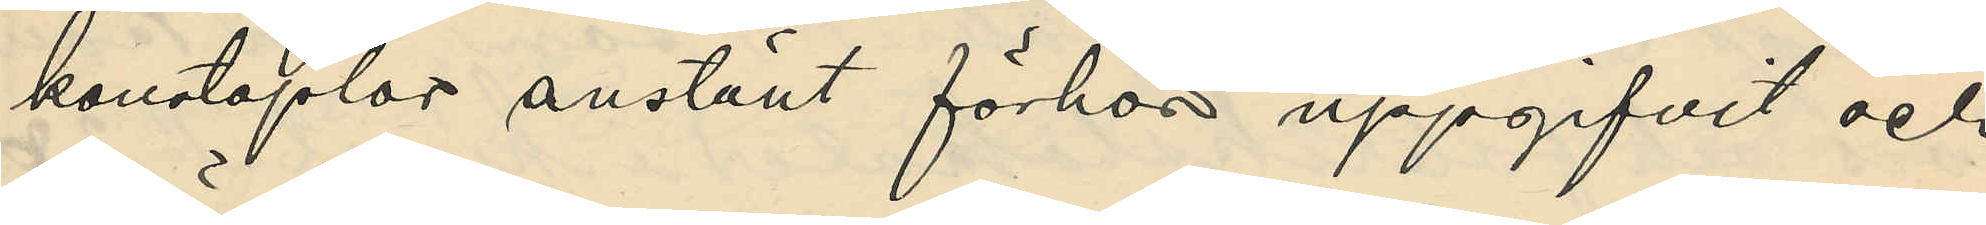konstaplar anställt förhör uppgifvit och
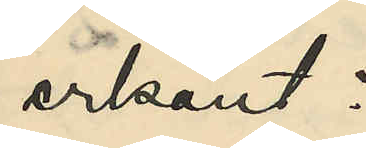erkänt:
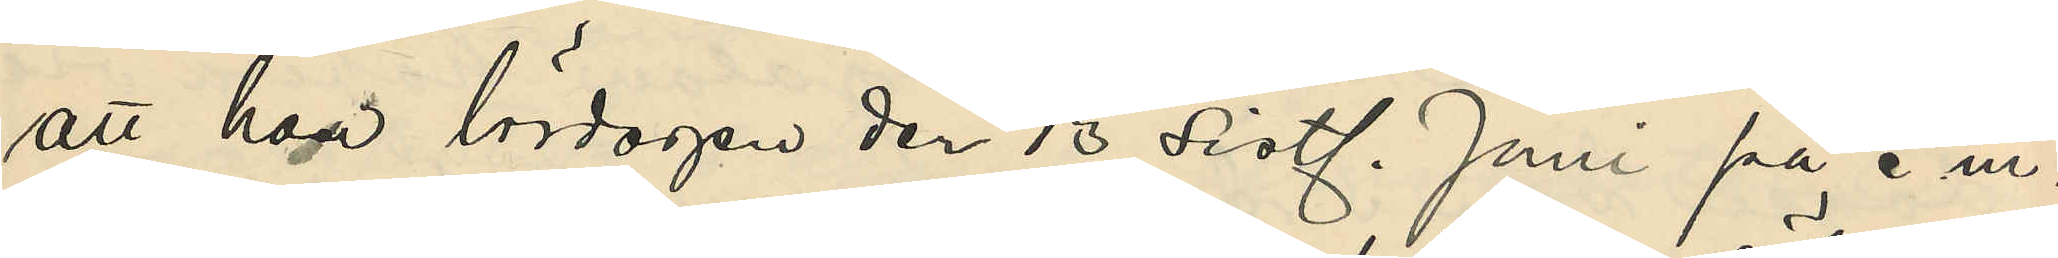att hon lördagen den 13 sistl. Juni på e. m.
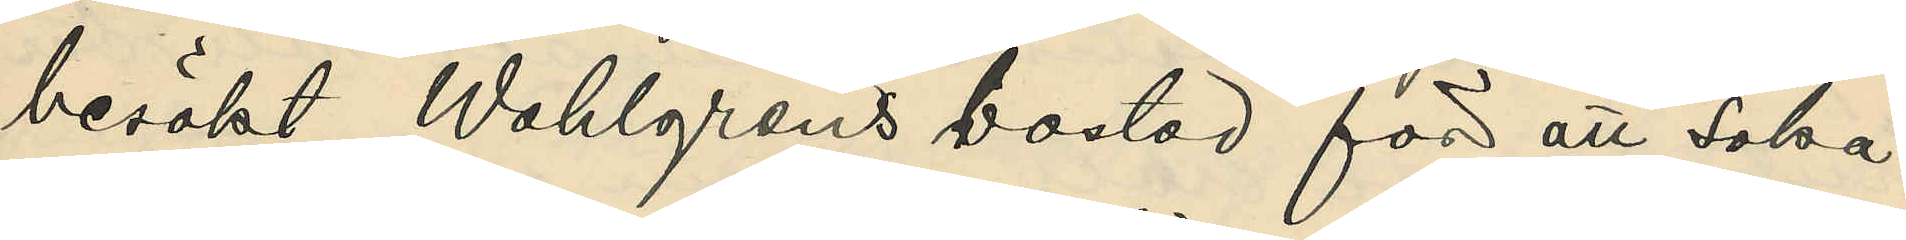besökt Wahlgrens bostad för att söka
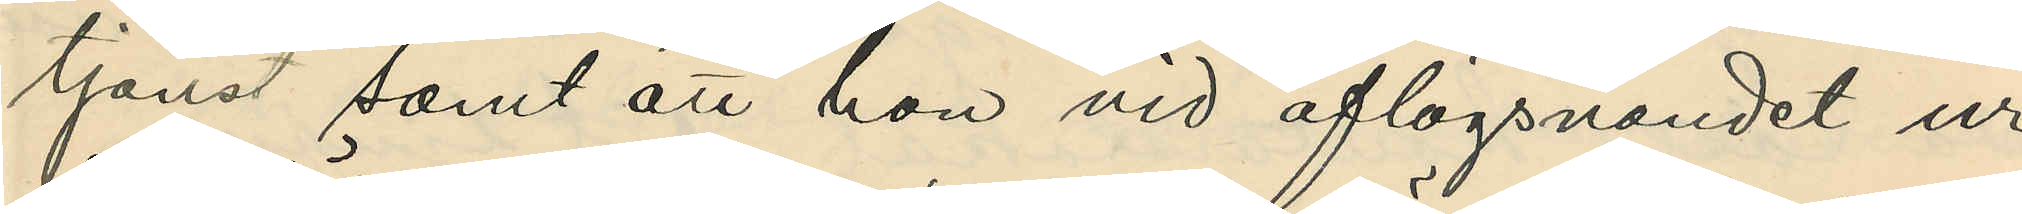tjänst samt att hon vid aflägsnandet ur
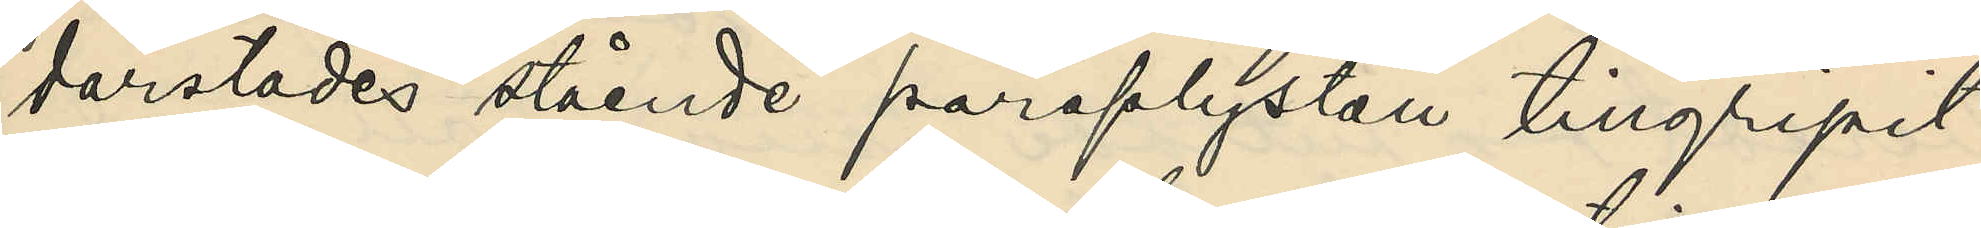därstädes stående paraplyställ tillgripit
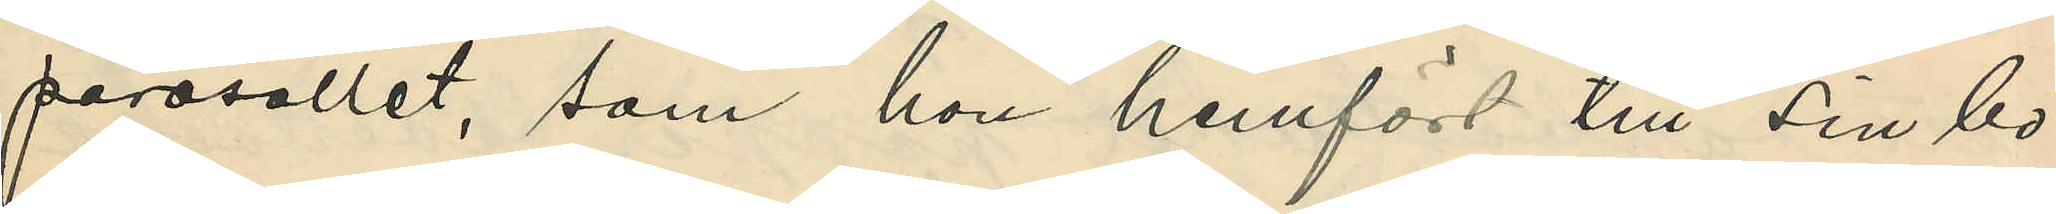parasollet, som hon hemfört till sin bo¬
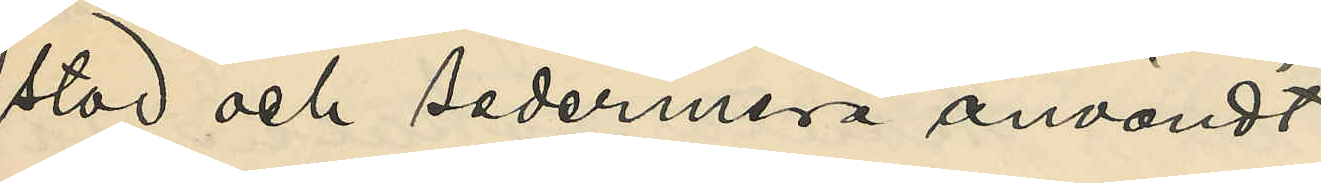stad och sedermera användt
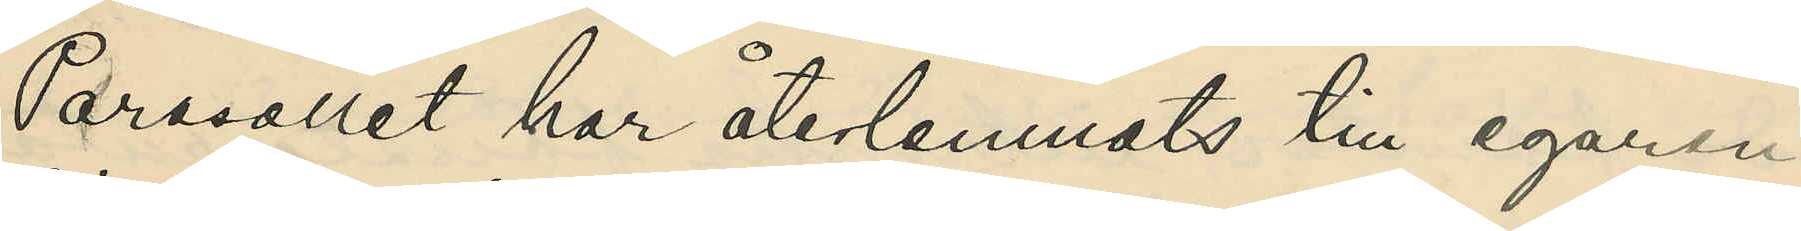Parasollet har återlemnats till egaren
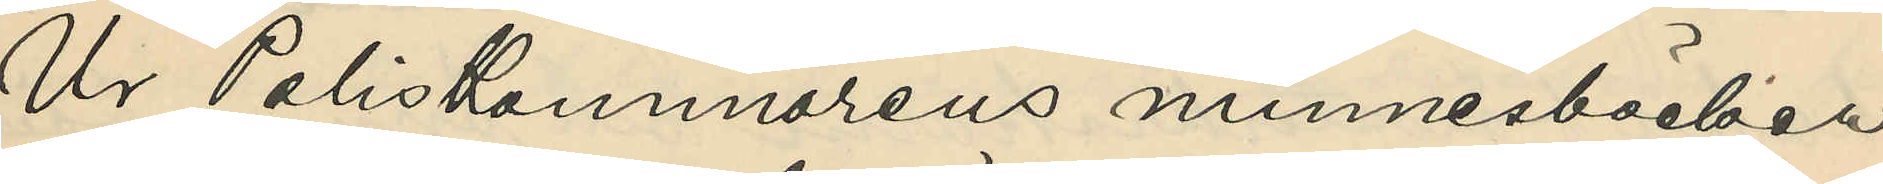Ur Poliskammarens minnesböcker
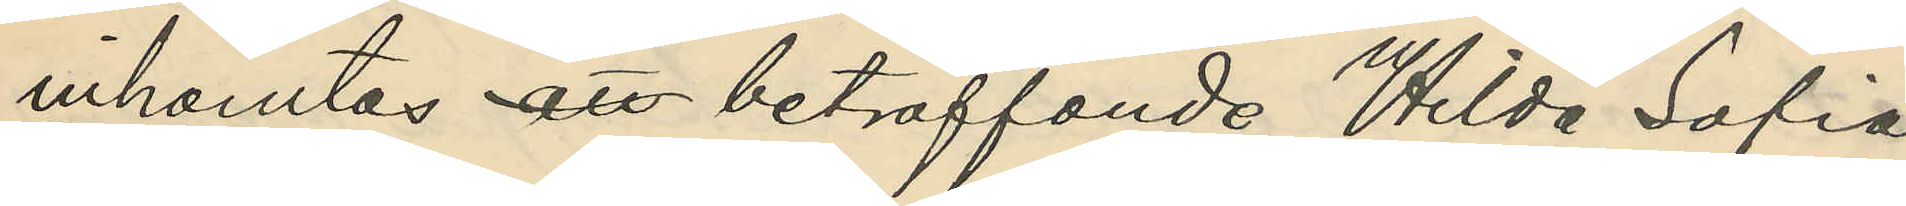inhämtas att beträffande Hilda Sofia
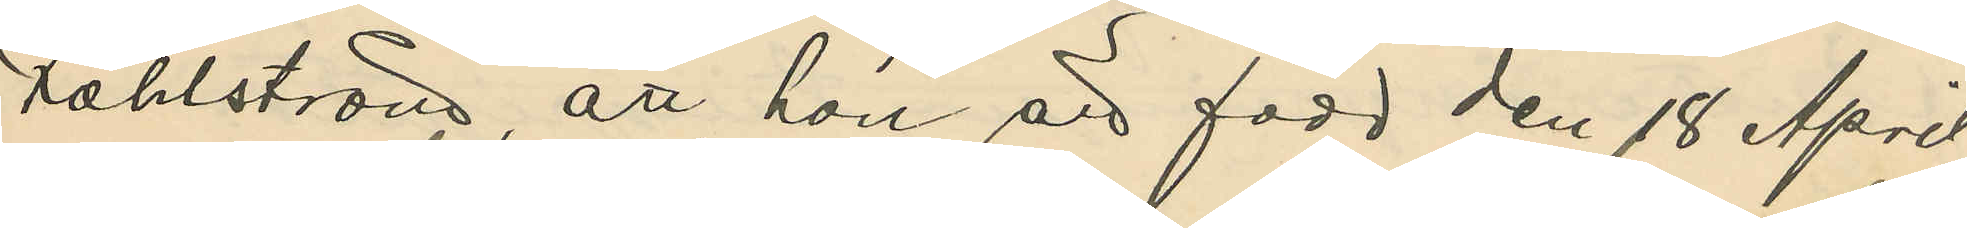Fahlström, att hon är född den 18 April
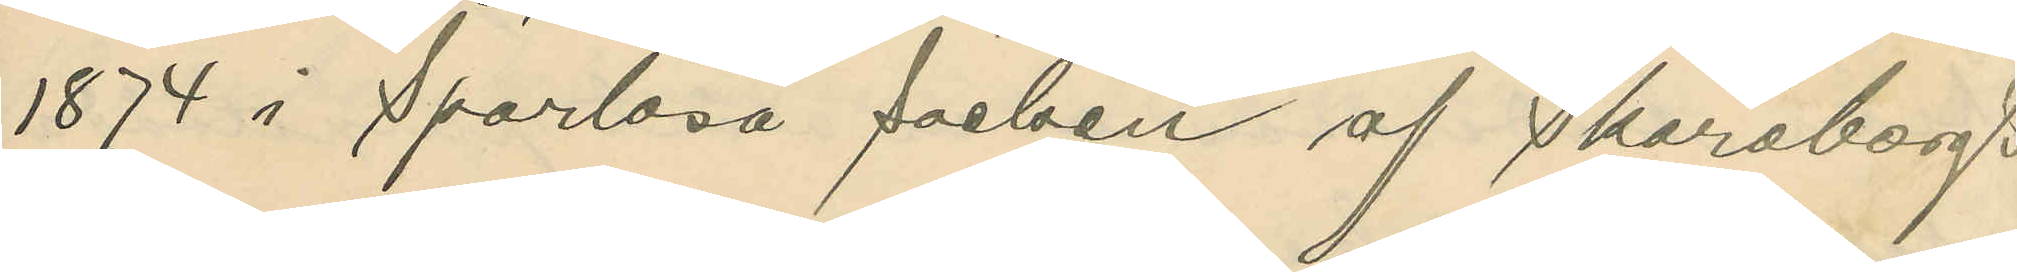1874 i Sparlösa socken af Skaraborgs
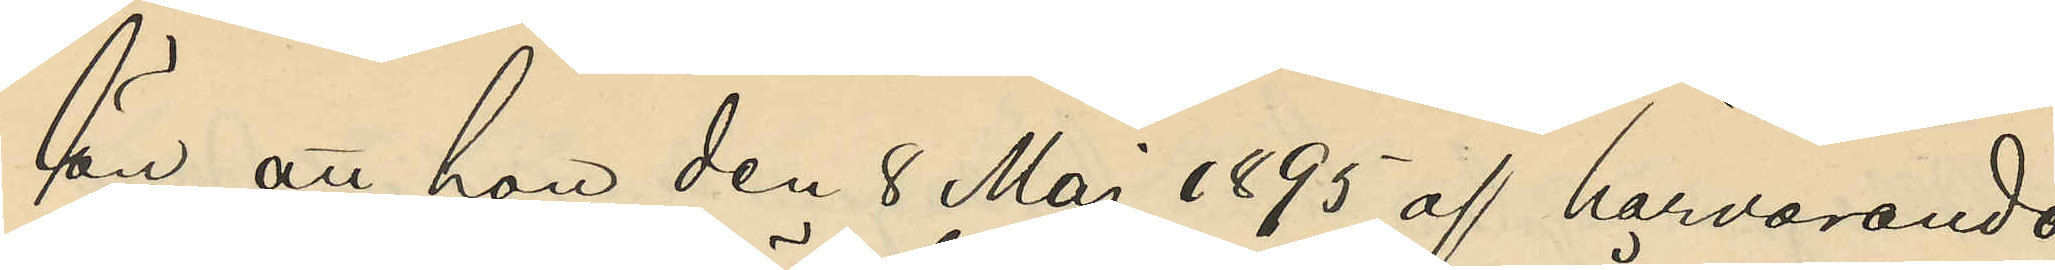län, att hon den 8 Maj 1895 af härvarande
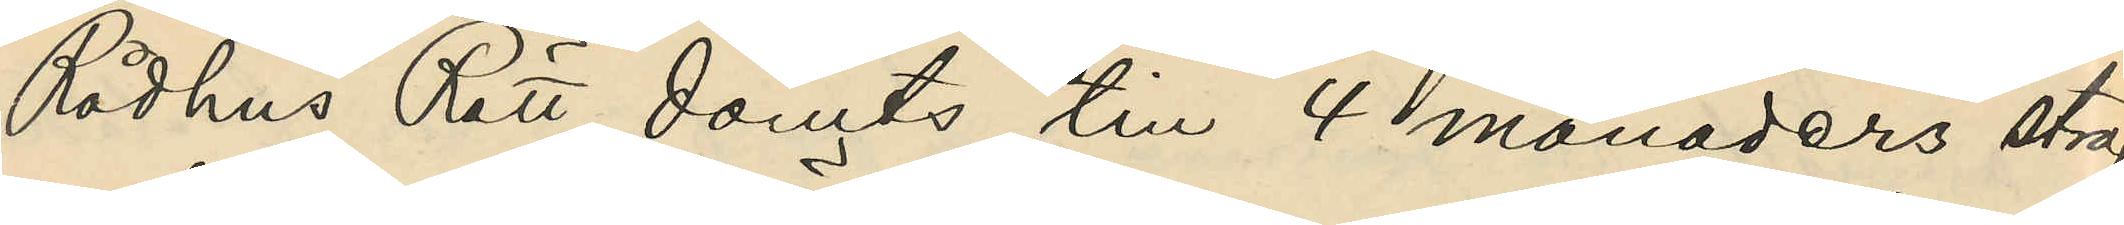Rådhus Rätt dömts till 4 månaders straff¬
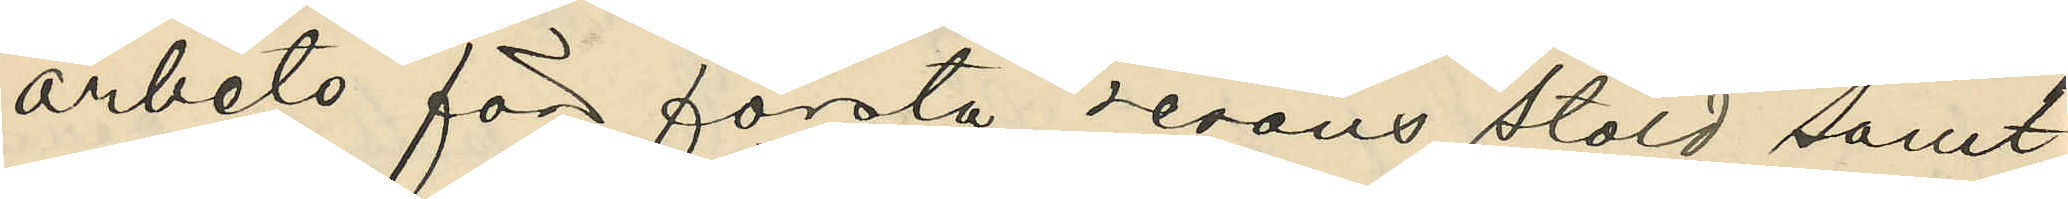arbete för första resans stöld samt
